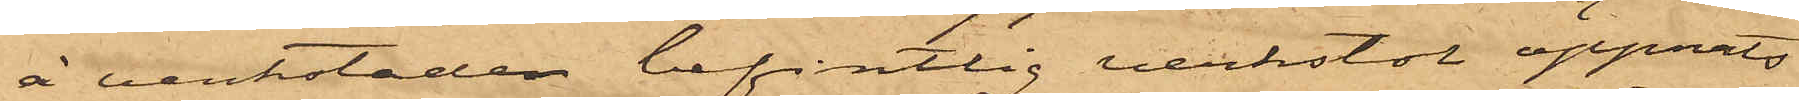å verkstaden befintlig verkstol öppnats
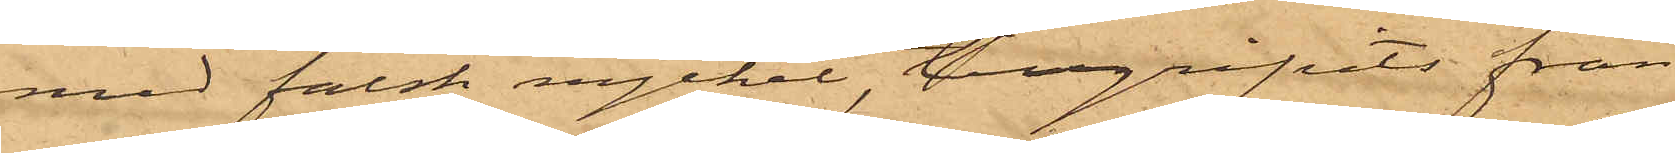med falsk nyckel, tillgripits från
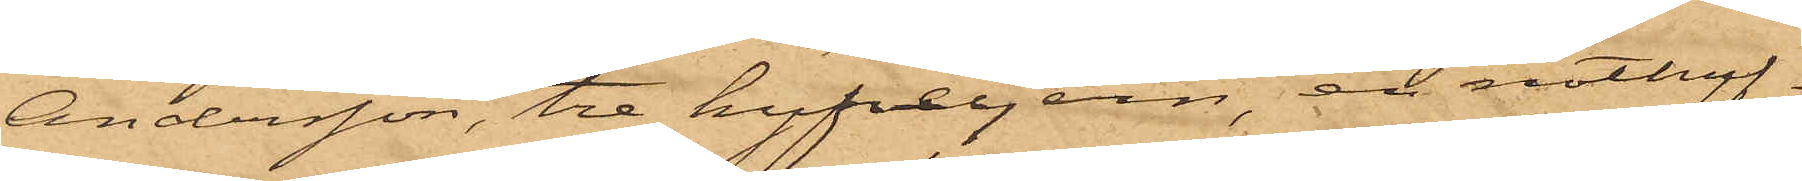Andersson, tre hyfveljern, en nothyf¬
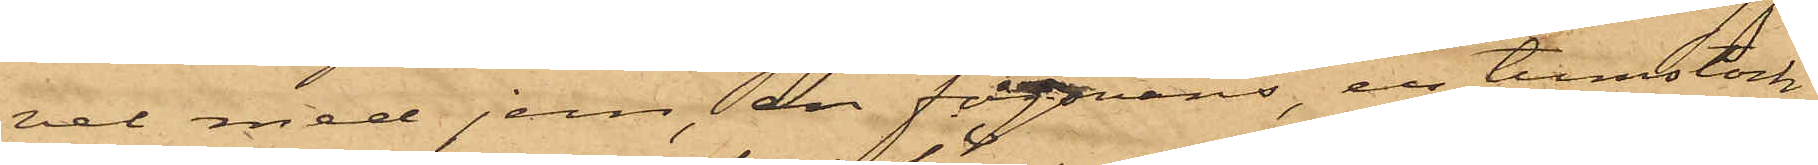vel med jern, en fogsvans, en tumstock,
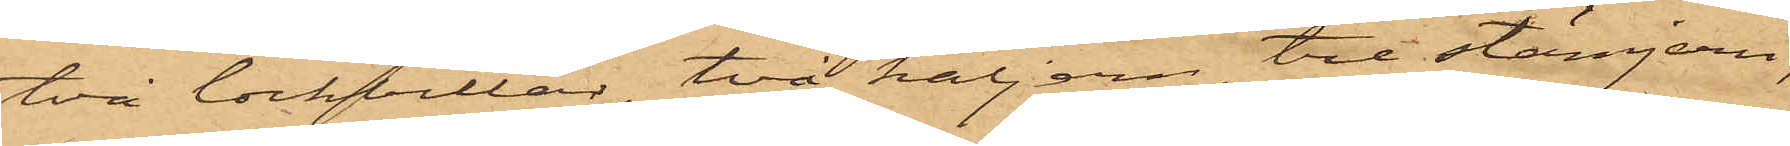två lockbetlar, två håljern, tre stämjern,
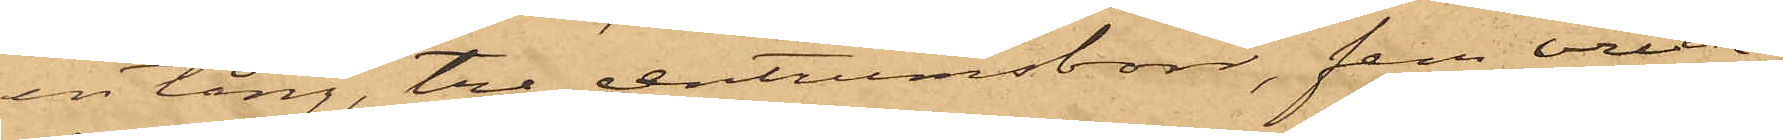en tång, tre centrumsborr, fem vrick¬
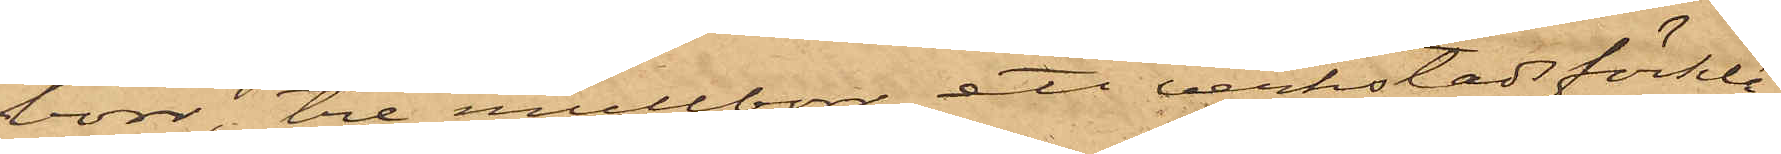borr, tre mallborr, ett verkstadsförklä¬
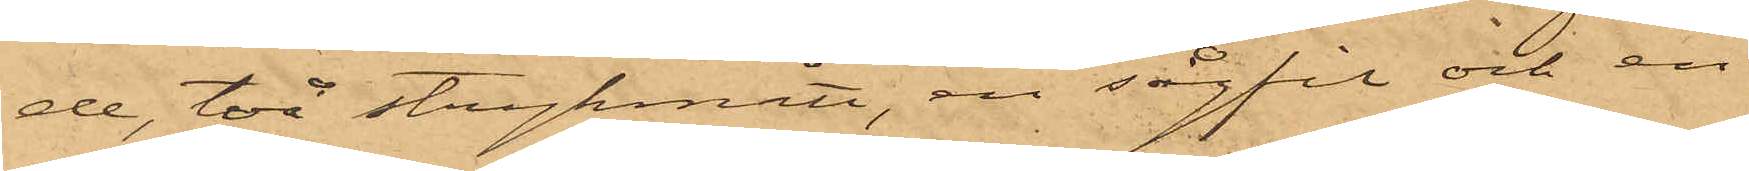de, två strykmått, en sågfil och en
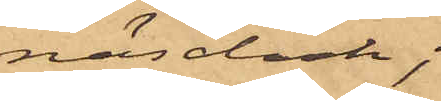näsduk;
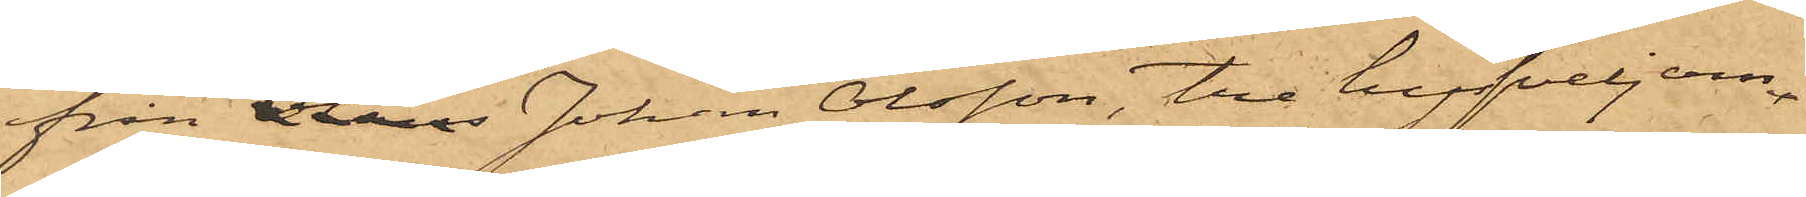från Johan Olsson, tre hyfveljern
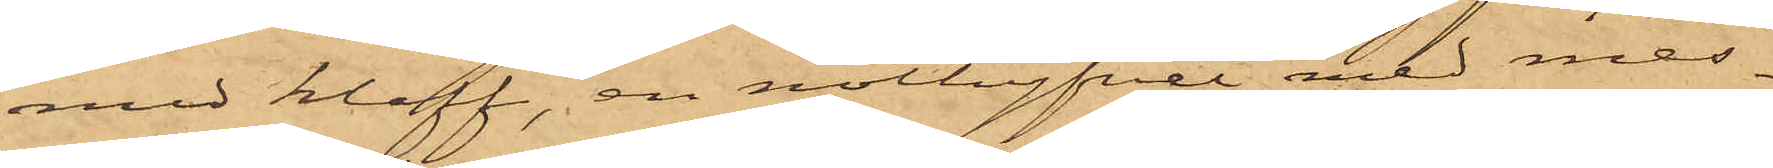med klaff, en nothyfvel med mes¬
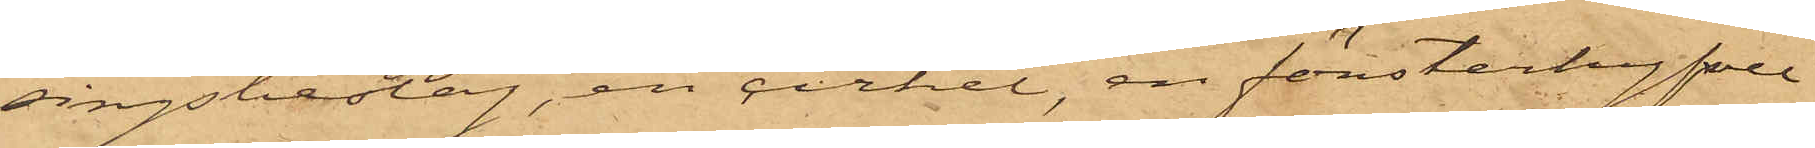singsbeslag, en cirkel, en fönsterhyfvel
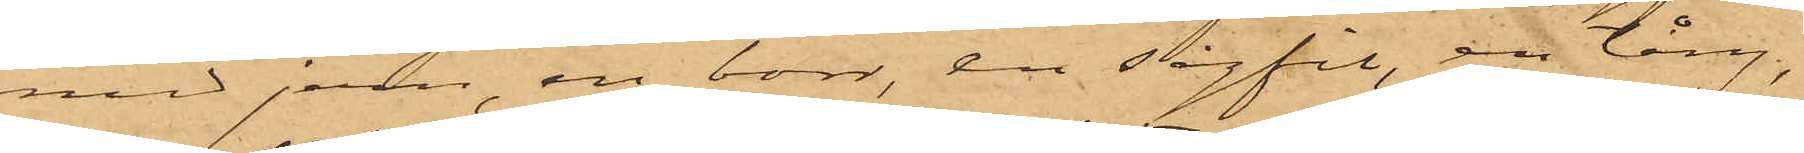med jern, en borr, en sågfil, en tång,
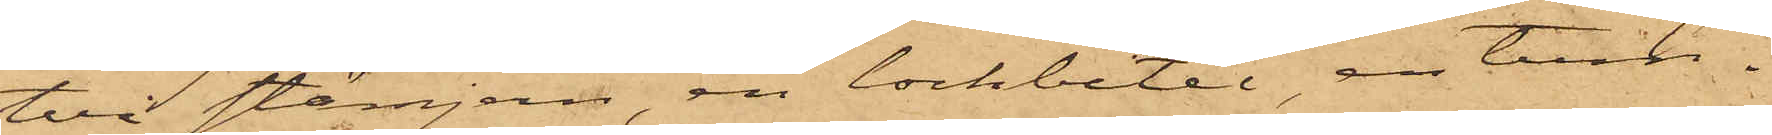två stämjern, en lockbetel, en tum¬
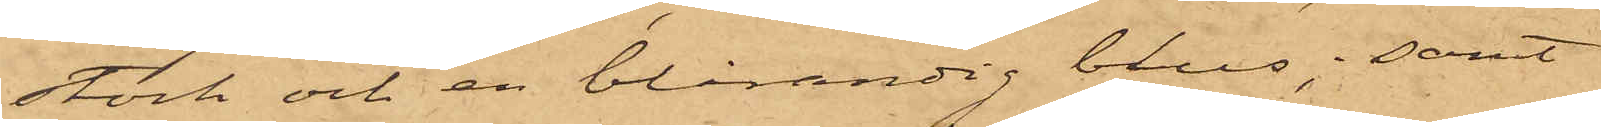stock och en blårandig blus; samt
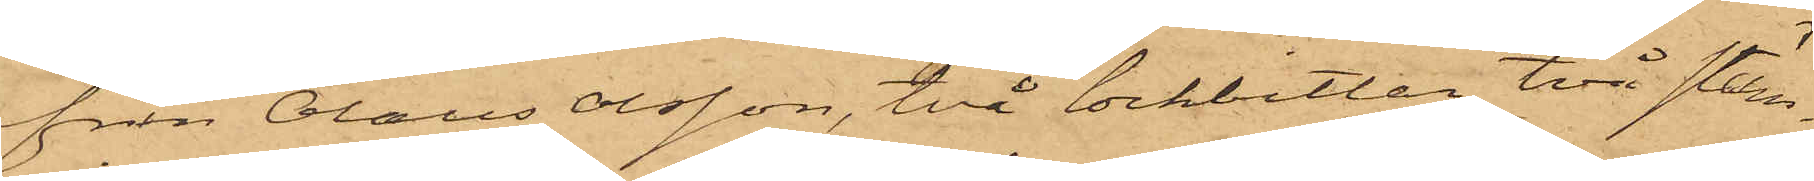från Olaus Olsson, två lockbetlar, två stäm¬
